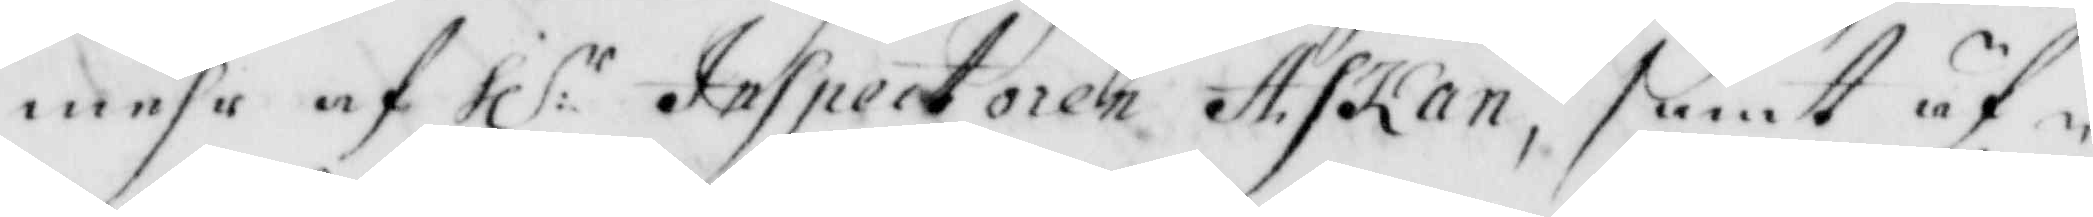mehr af hl:r Inspectoren Askan, samt äf¬
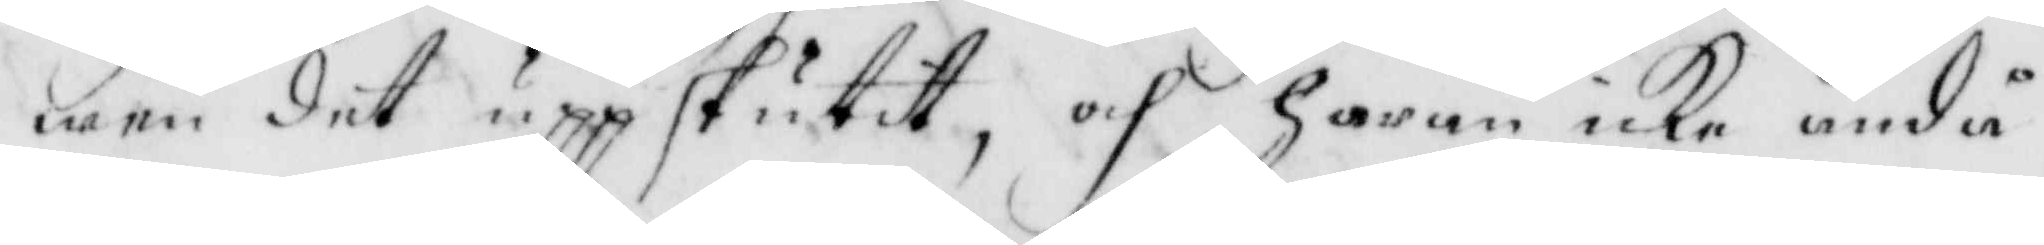wen det uppskutit, och haran icke ändå
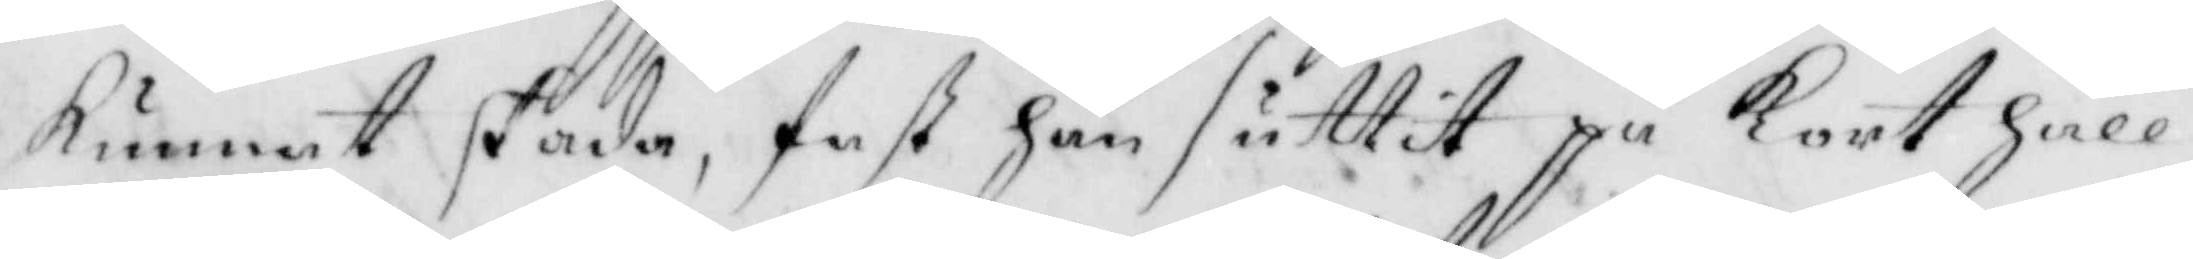kunnat stada, fast han suttit på kort håll
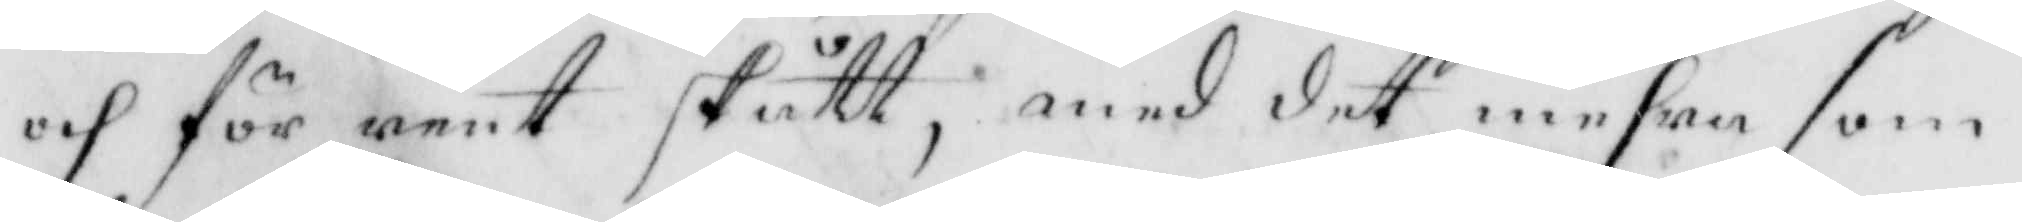och för rent stått, med det mehra som
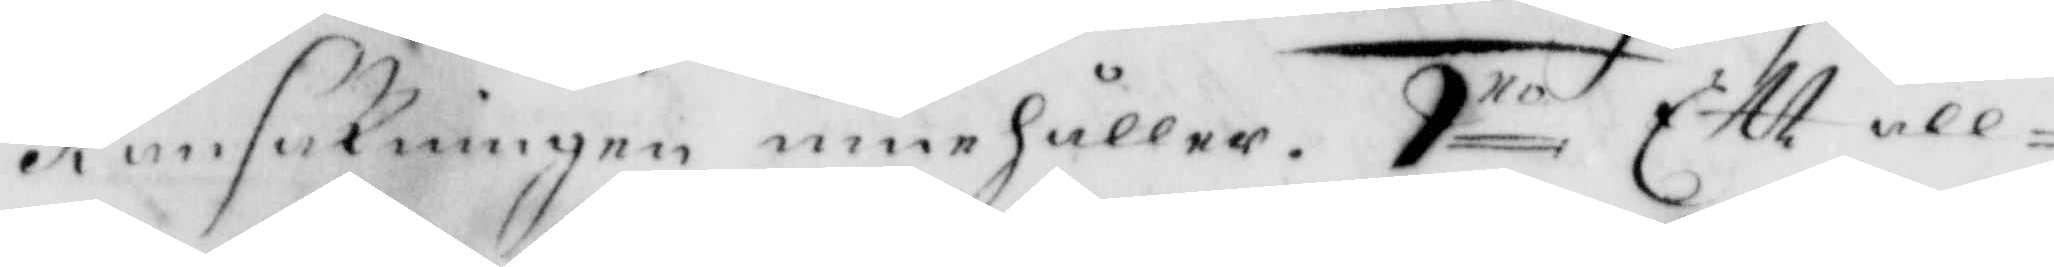Ransakningen innehåller. 9.no Ett all¬
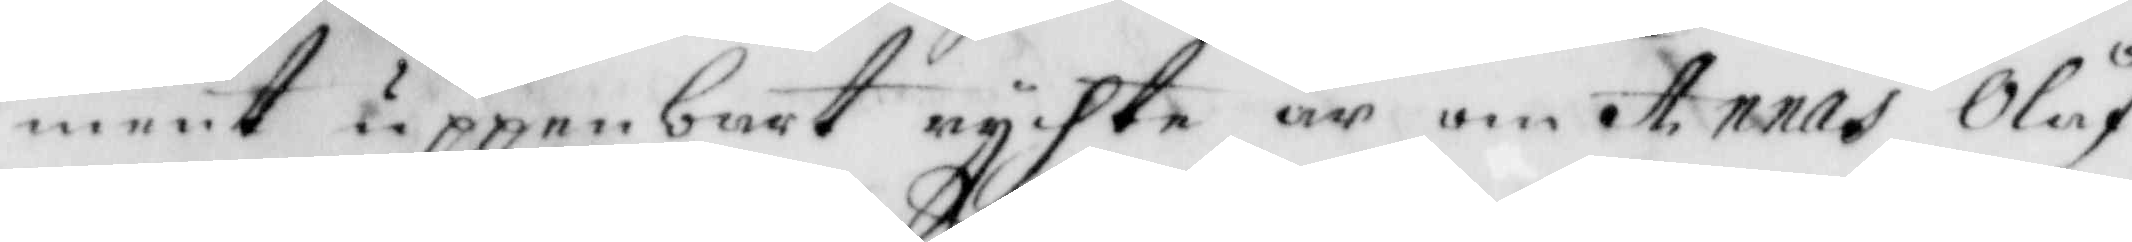ment uppenbart rychte är om Annas Olåf¬
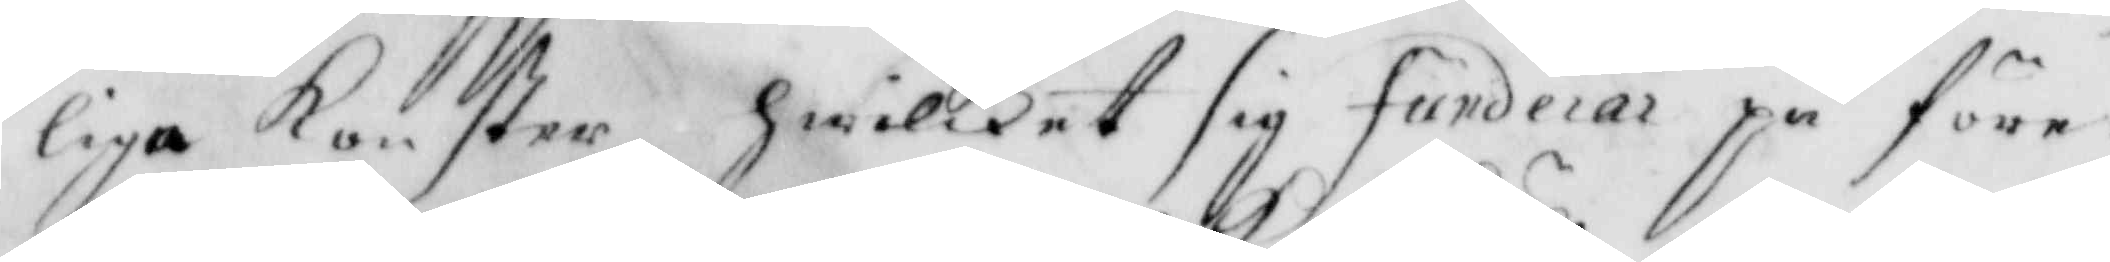liga konster, hwilket sig funderar på före¬
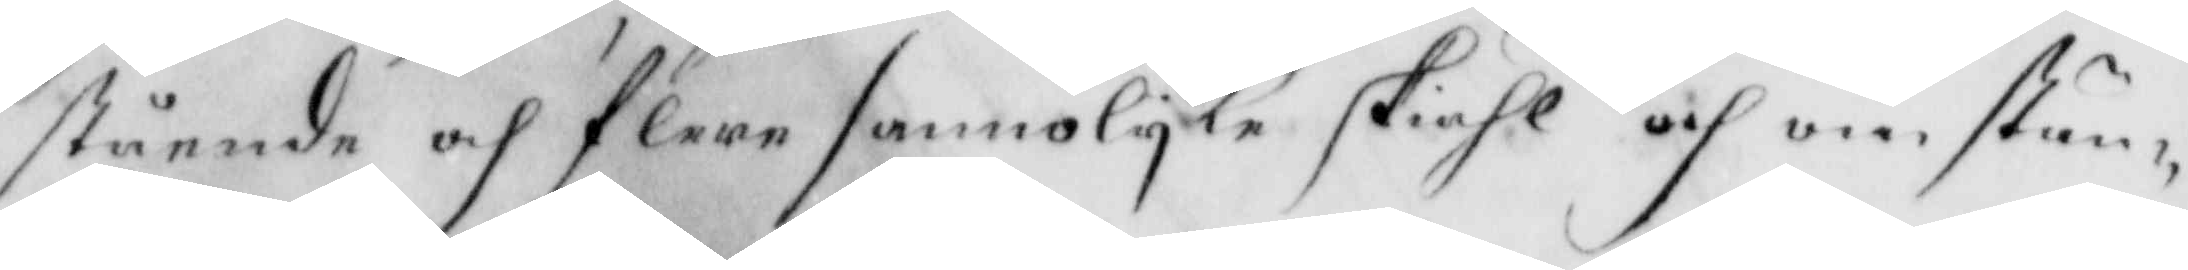stående och flere sannolyka skiähl och om stän¬
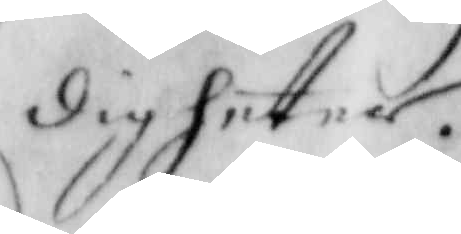digheter.
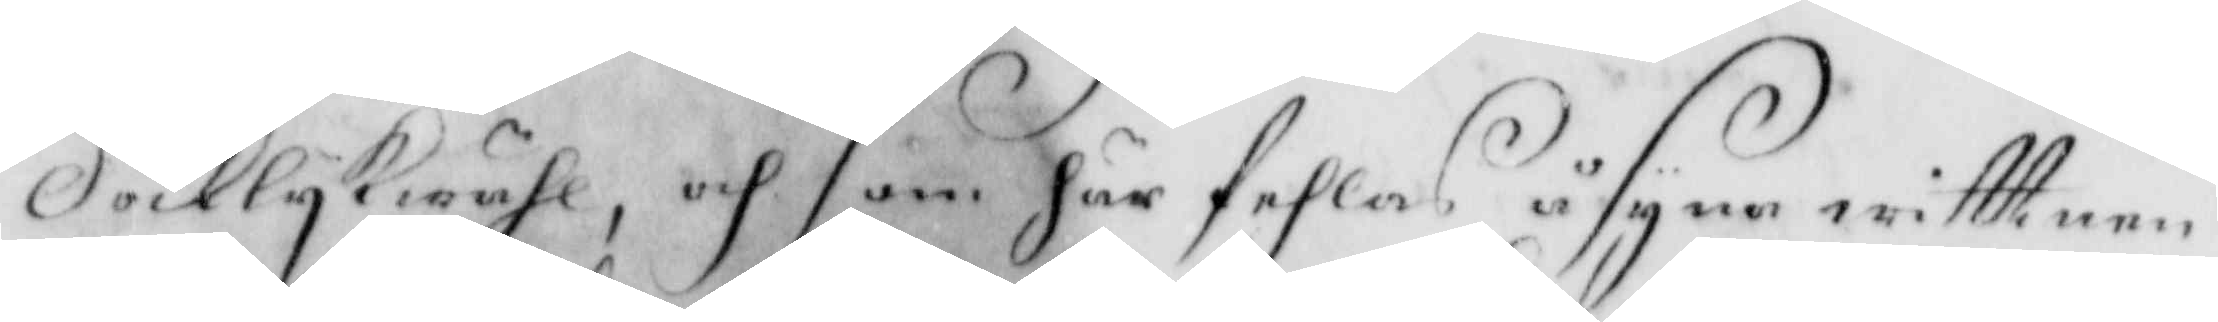Docklykwähl; och som här fehlas åsyna wittnen
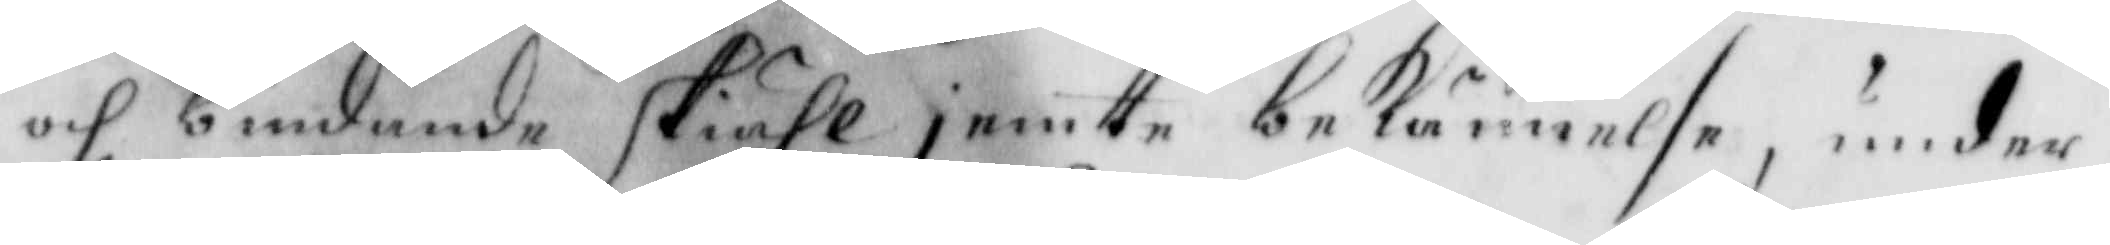och bindande skiähl jemte nekännelse, under¬
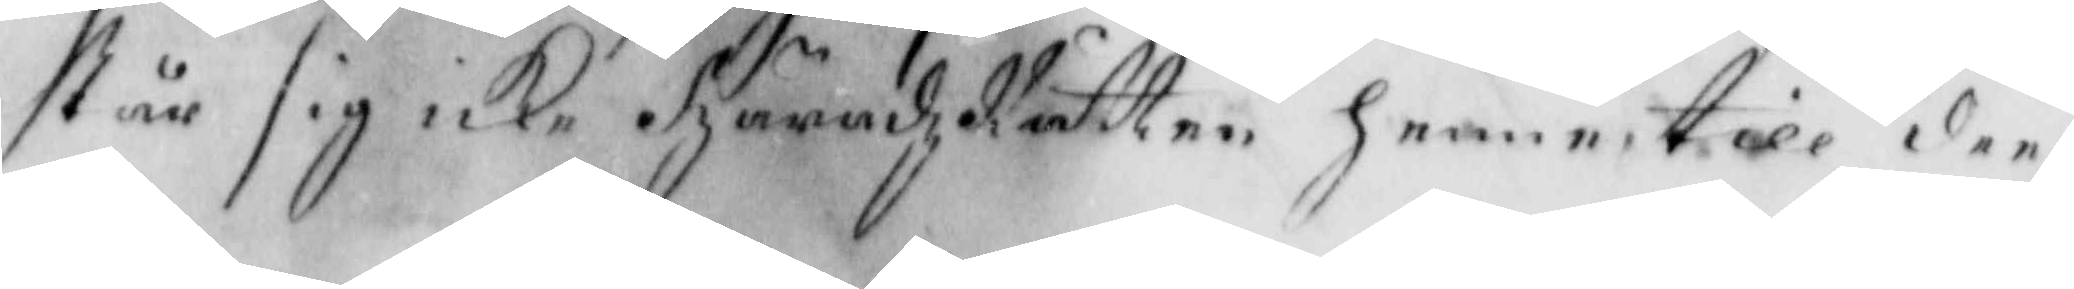står sig icke häradzRätten henne till den
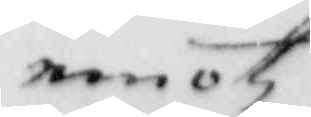emotz
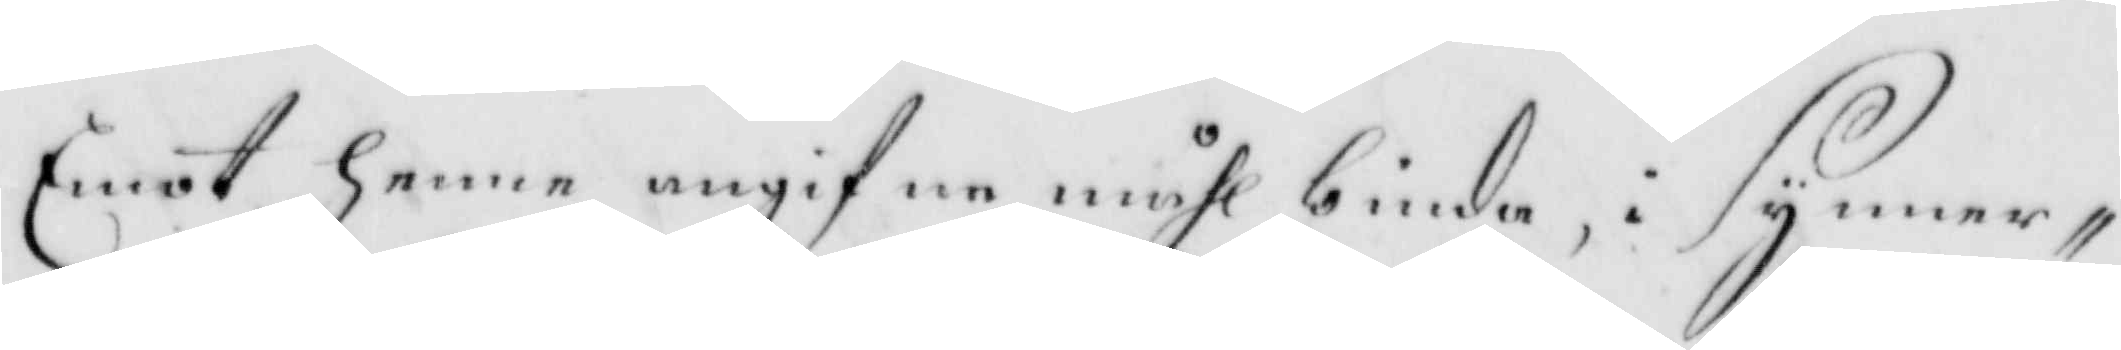Emot henne angifne måhl binda, i Synner¬
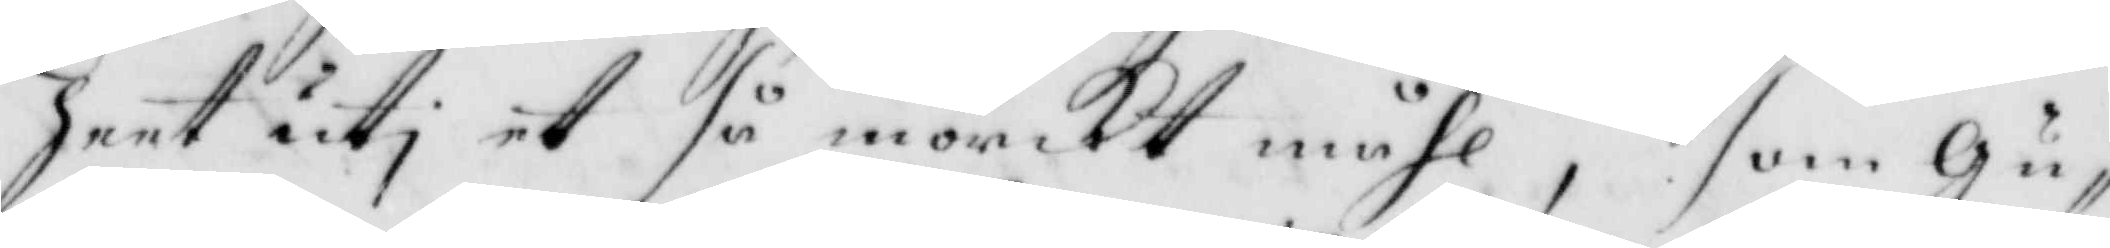heet uti et så mörkt måhl, som Gu¬
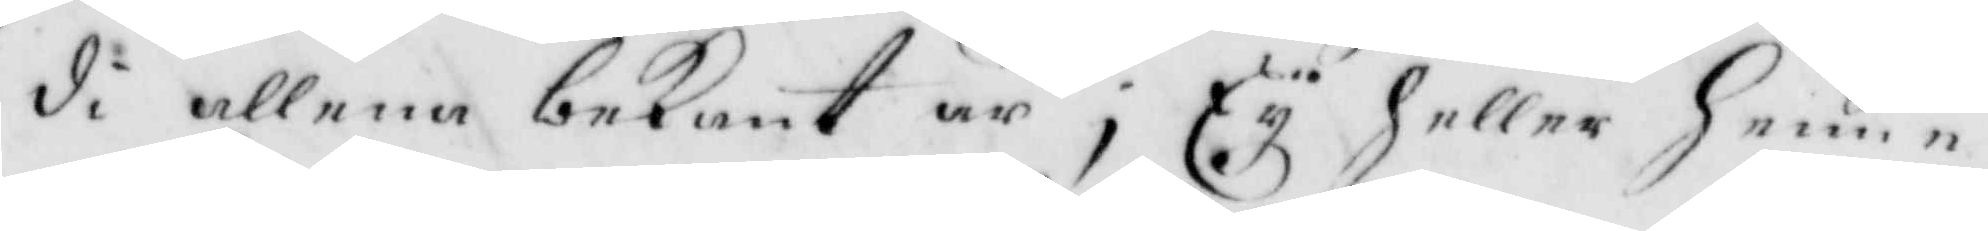di allena bekant är, Ey heller henne
